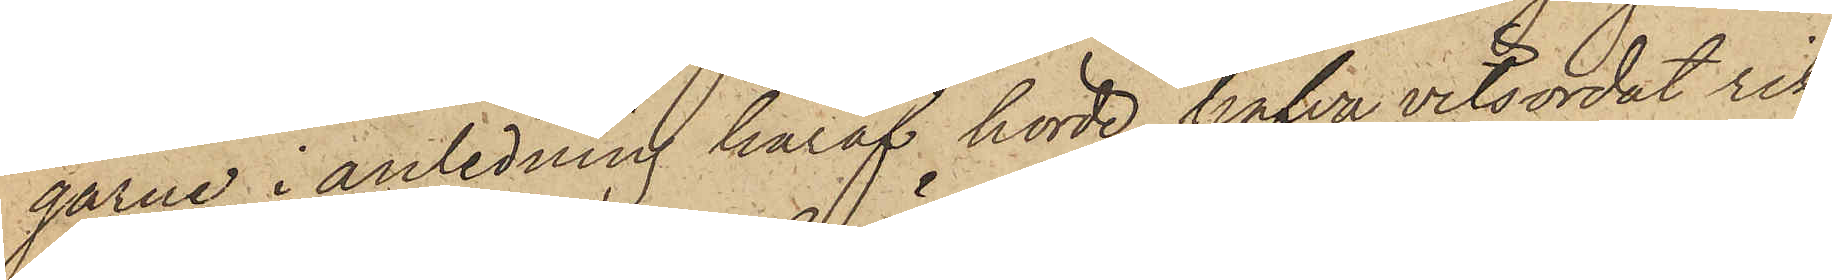garne, i anledning häraf hörde, hafva vitsordat rik¬
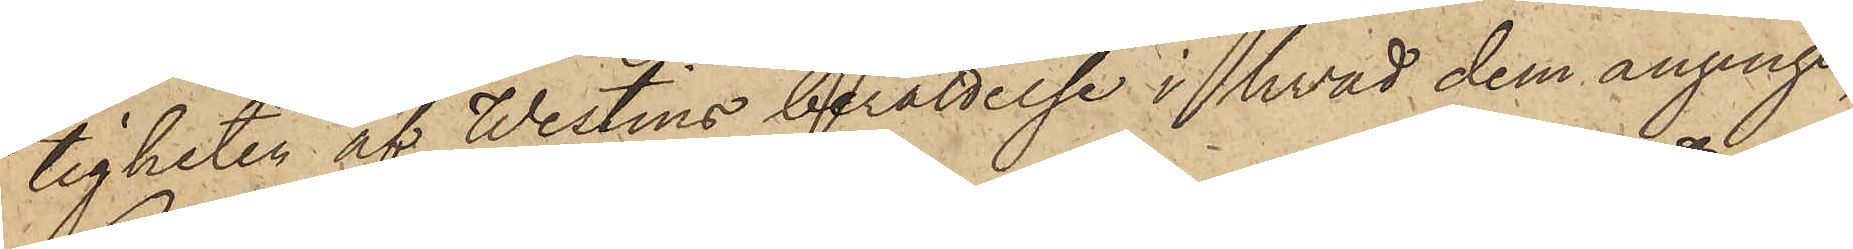tigheten af Westins berättelse i hvad dem anginge,
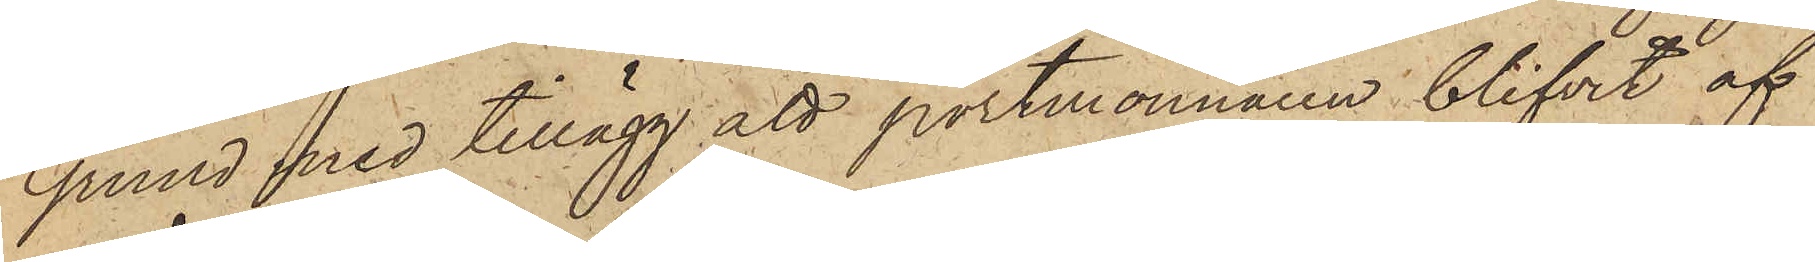Grund med tillägg att portmonnaien blifvit af
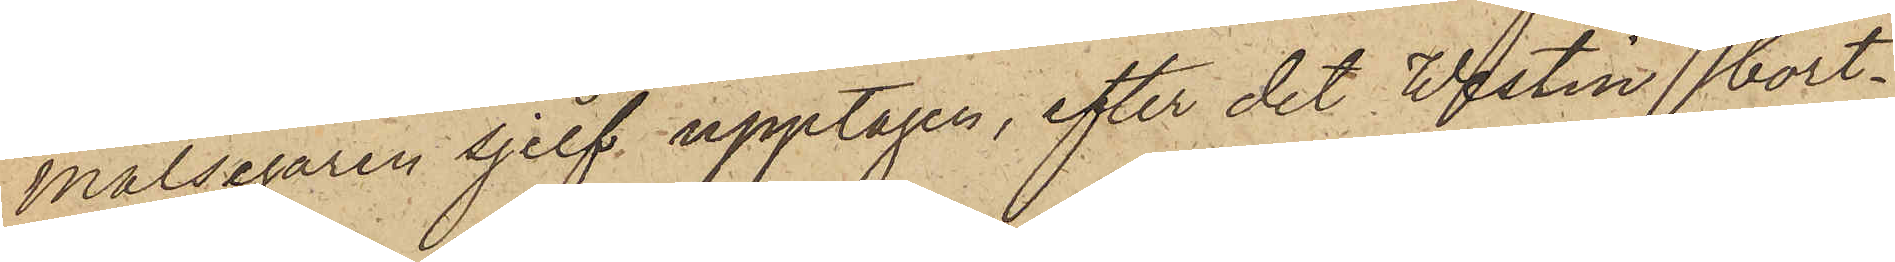målsegaren sjelf upptagen, efter det Westin, bort¬
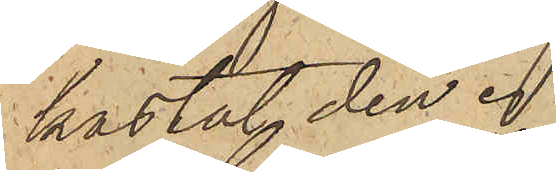kastat den.
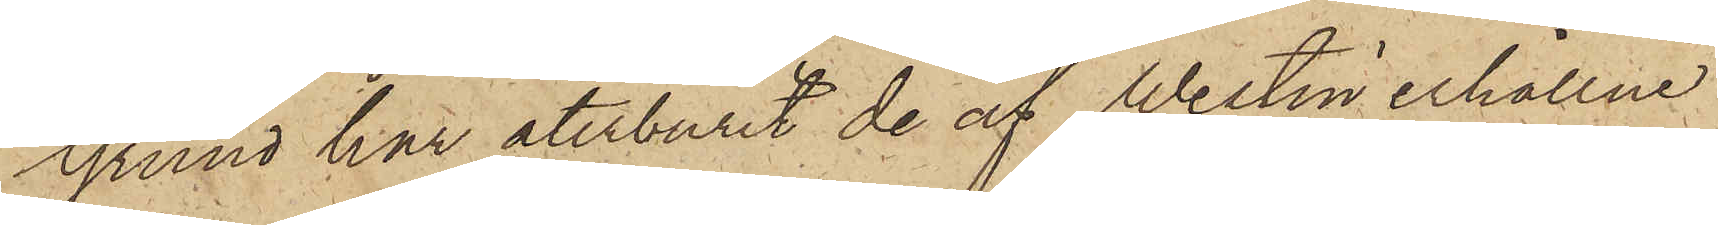Grund har återburit de af Westin erhållne
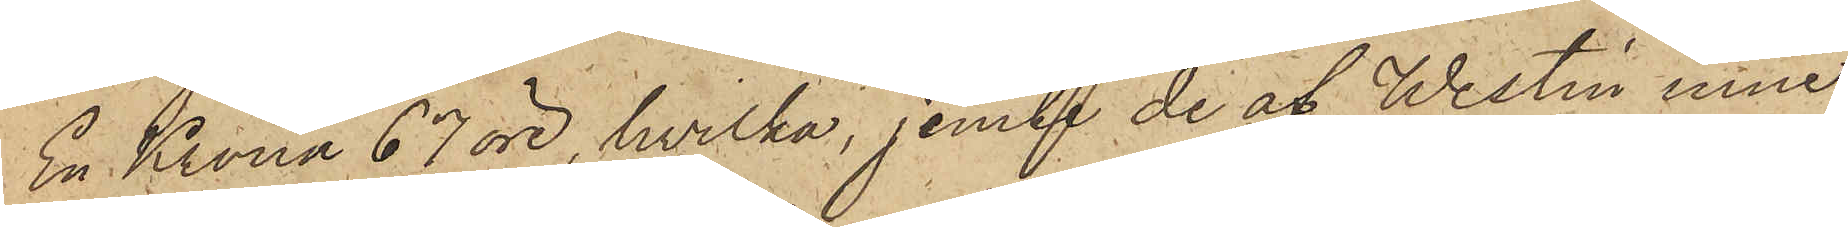En Krona 67 öre, hvilka, jemte de af Westin inne¬
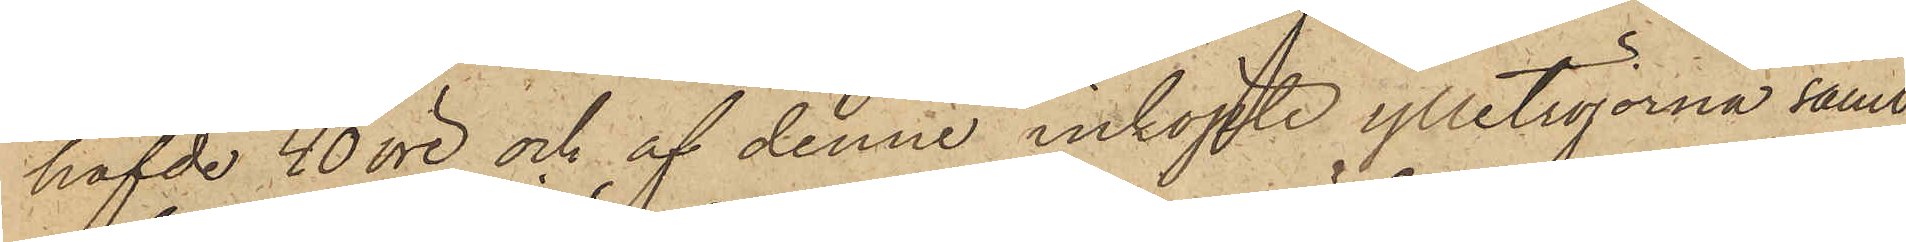hafde 40 öre och af denne inköpte ylletröjorna samt
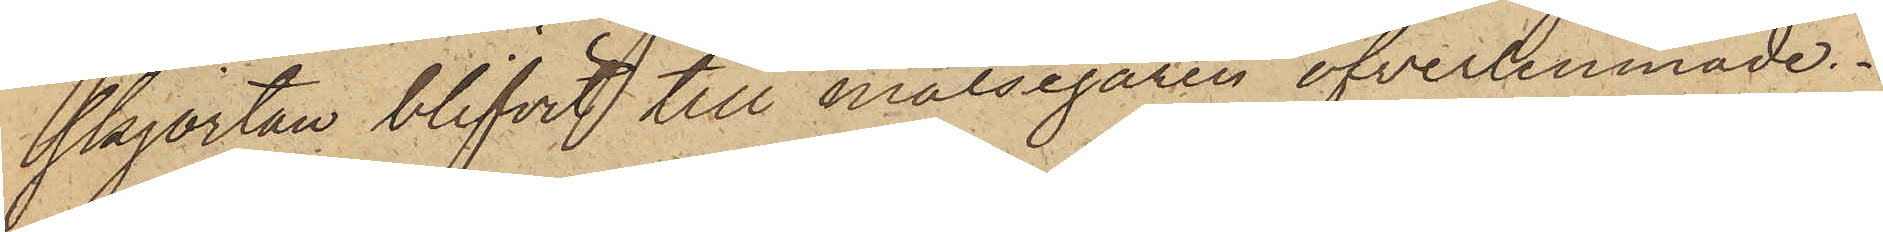skjortan blifvit till målsegaren öfverlemnade.
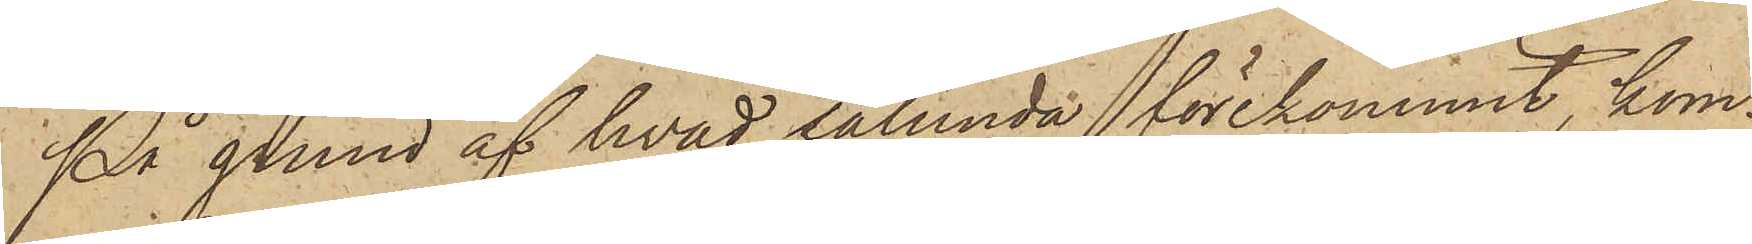På grund af hvad sålunda förekommit, kom¬
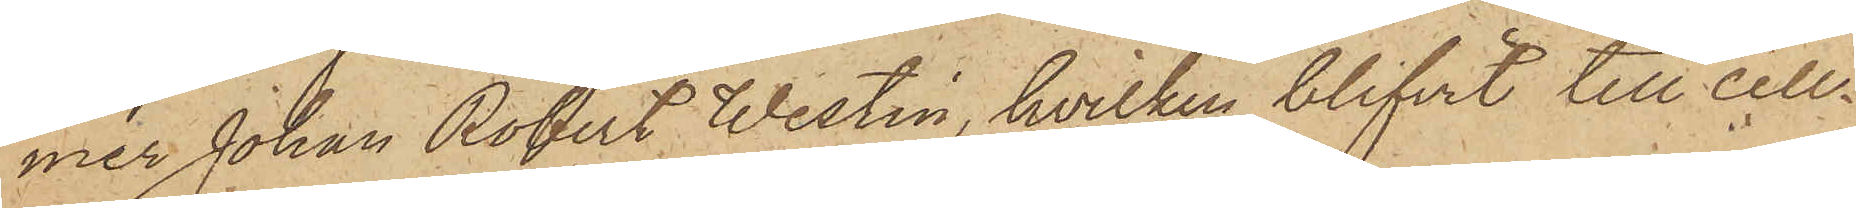mer Johan Robert Westin, hvilken blifvit till Cell¬
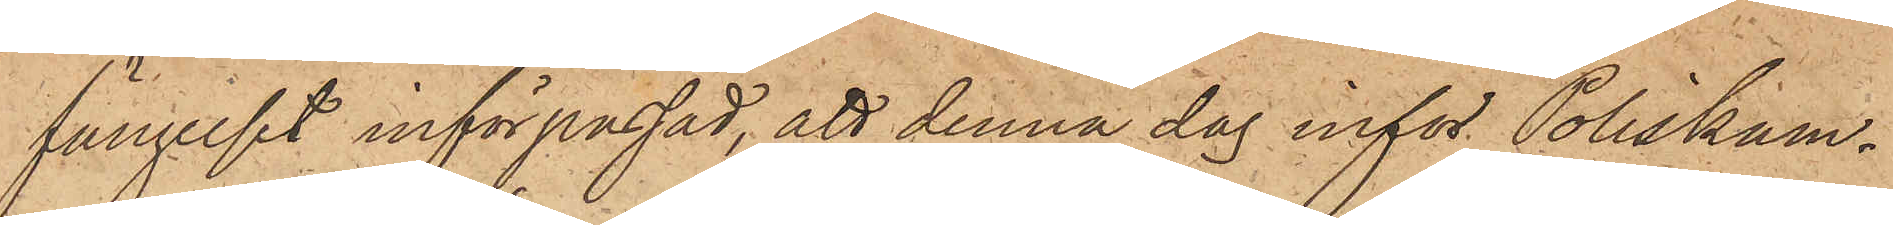fängelset införpassad, att denna dag inför Poliskam¬
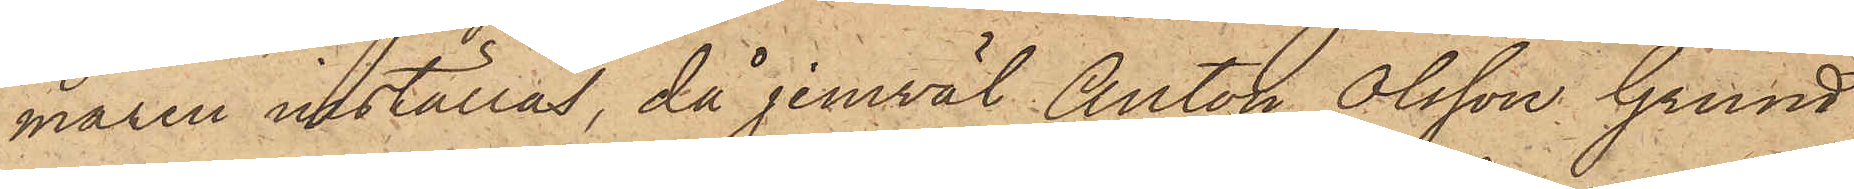maren inställas, då jemväl Anton Olsson Grund
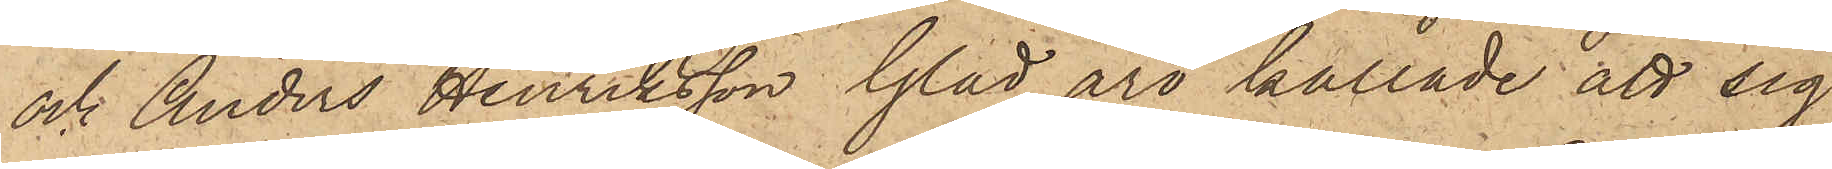och Anders Henriksson Glad äro kallade att sig
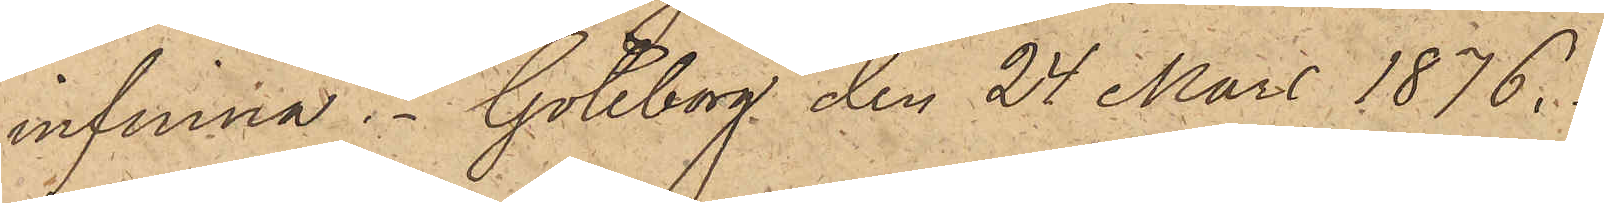infinna. Göteborg den 24 Mars 1876.
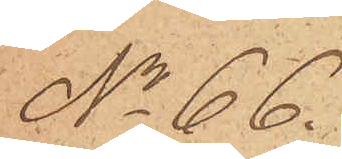No 66.
